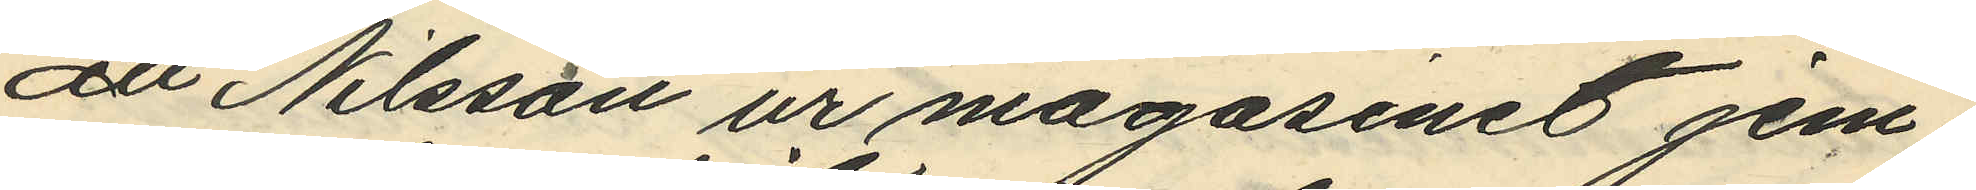att Nilsson ur magasinet jem¬
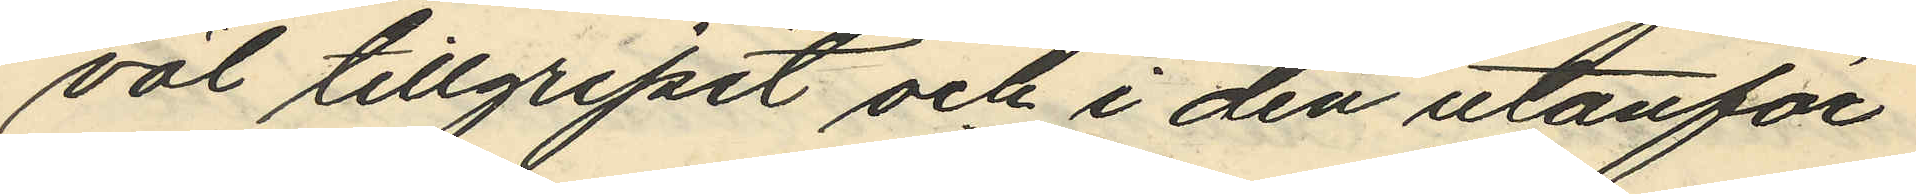väl tillgripit och i den utanför
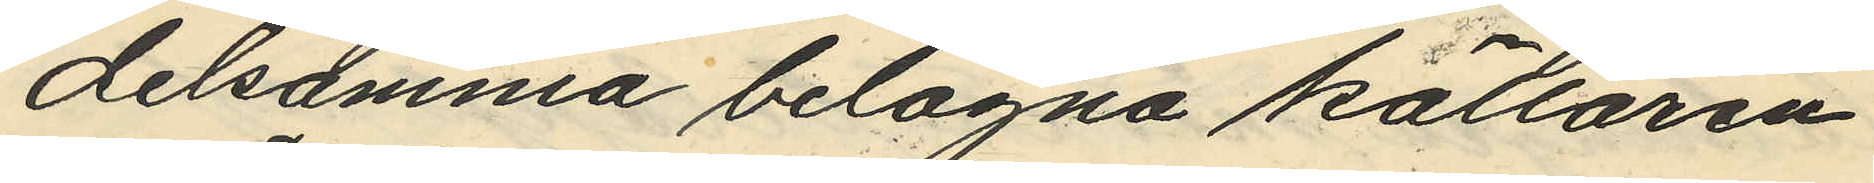delsamma belägna källaren
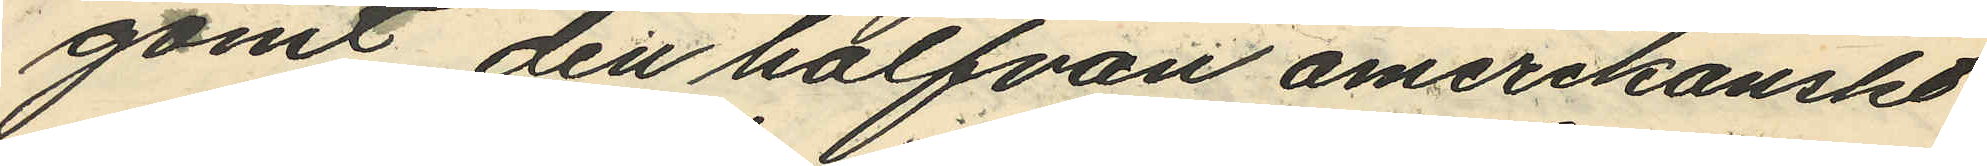gömt den halfvan amerikanskt
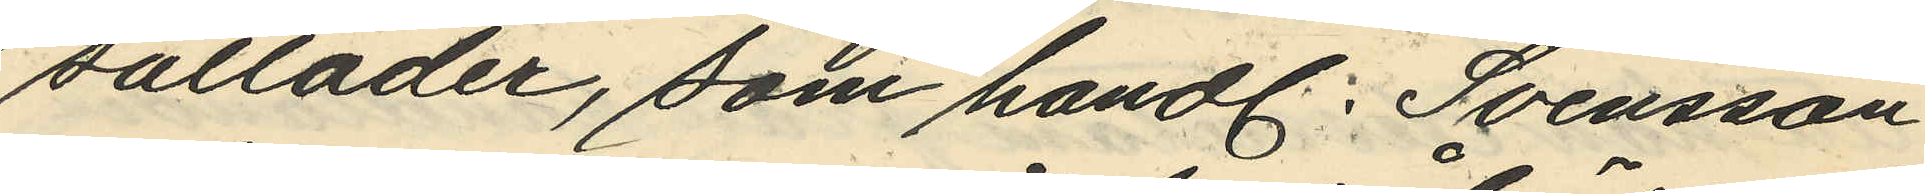sulläder, som handl. Svensson
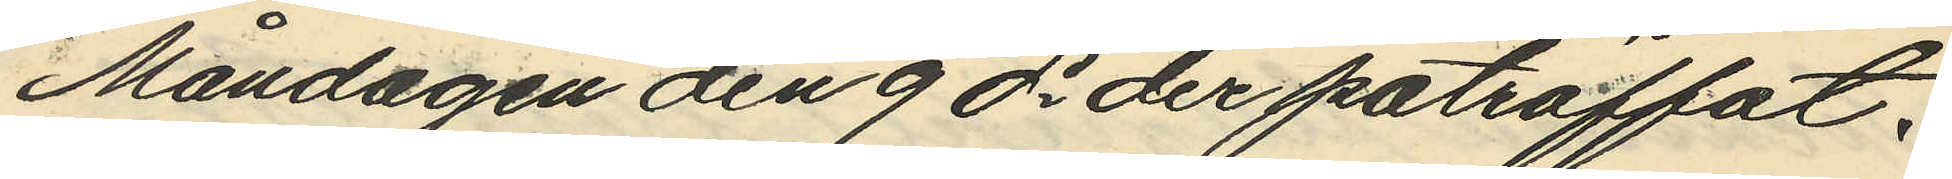Måndagen den 9 ds der påträffat.
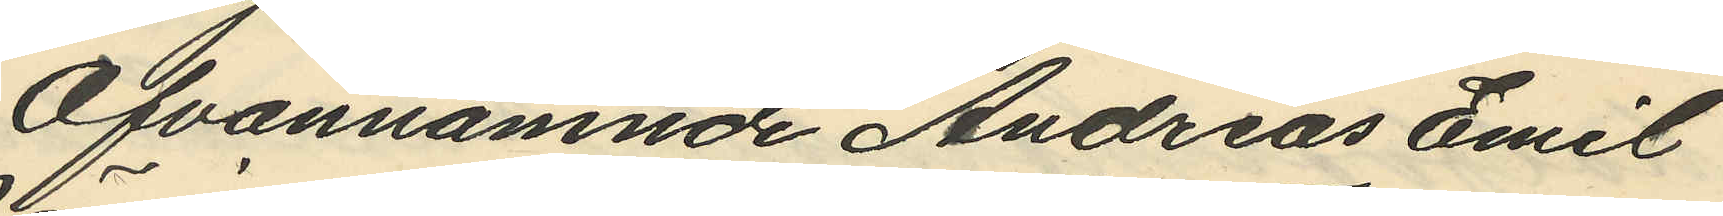Ofvannämnde Andreas Emil
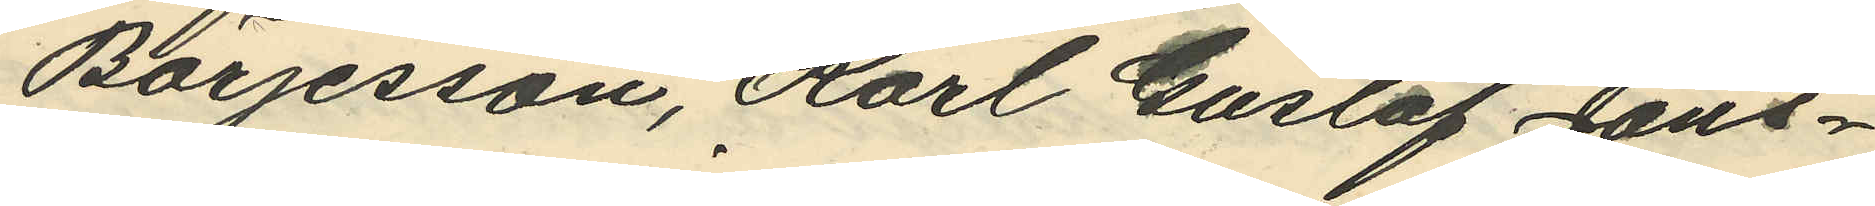Börjesson, Karl Gustaf Jans¬
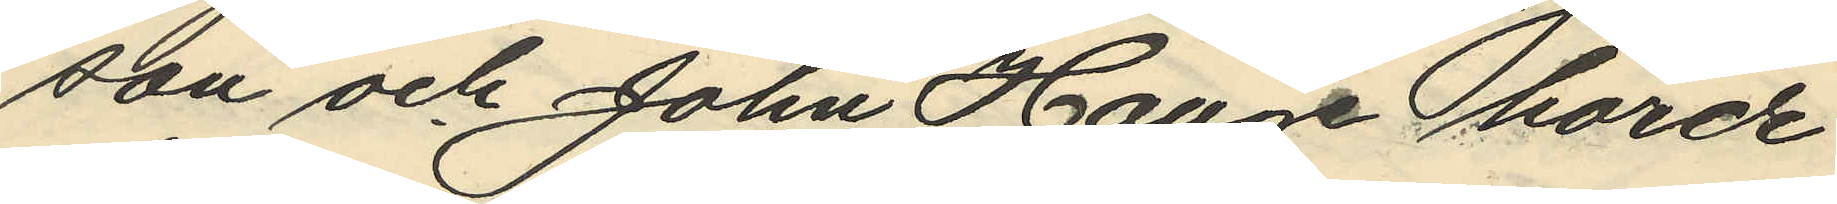son och John Hauge hörde
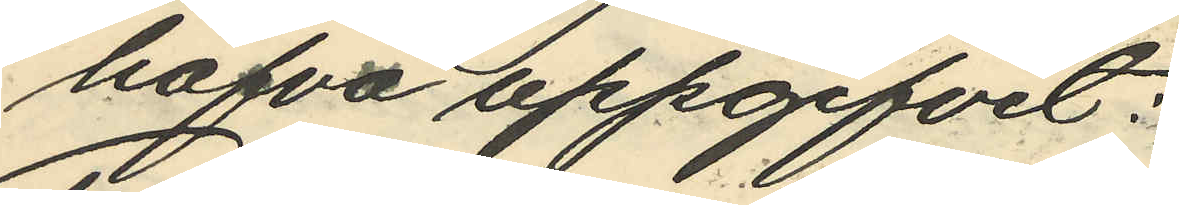hafva uppgifvit:
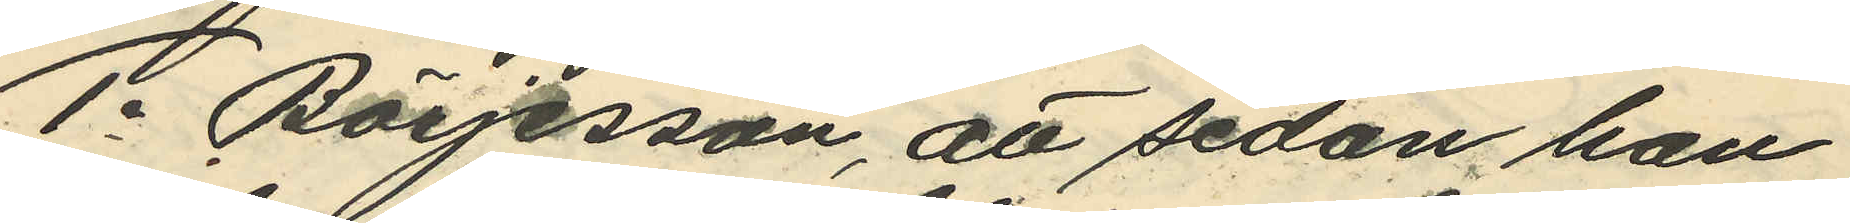1o Börjesson, att sedan han
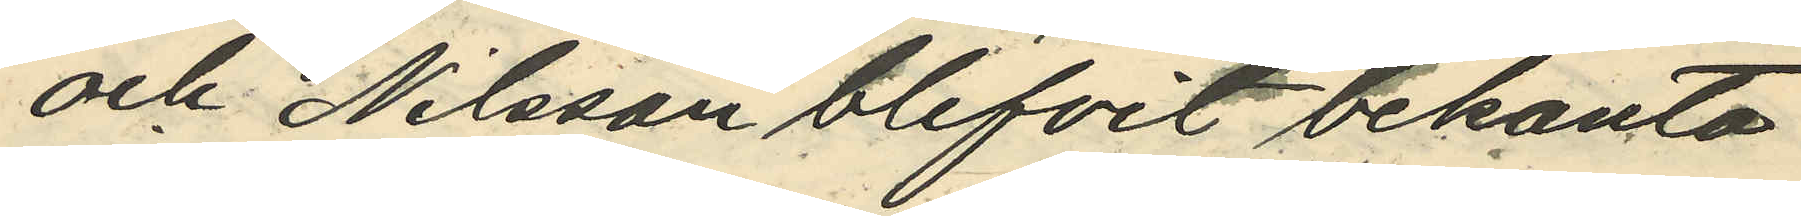och Nilsson blifvit bekanta
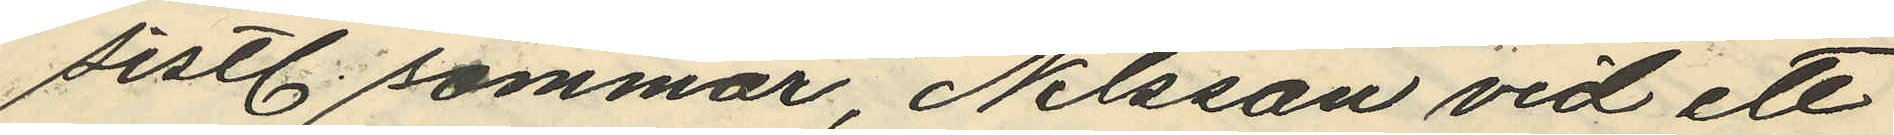sist. sommar, Nilsson vid ett
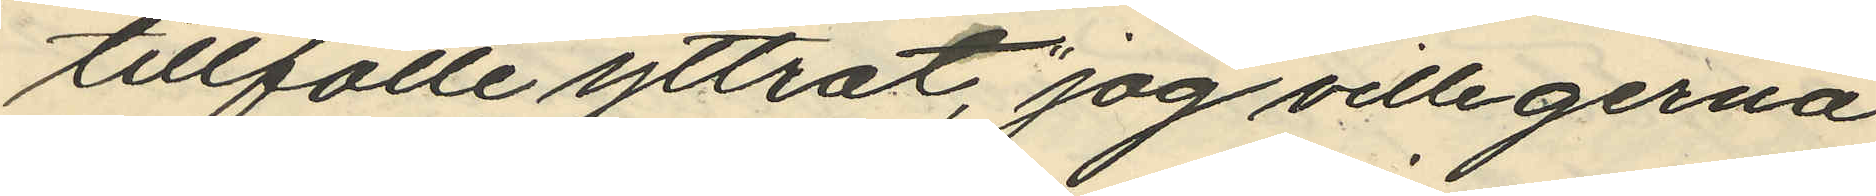tillfälle yttrat, "jag ville gerna
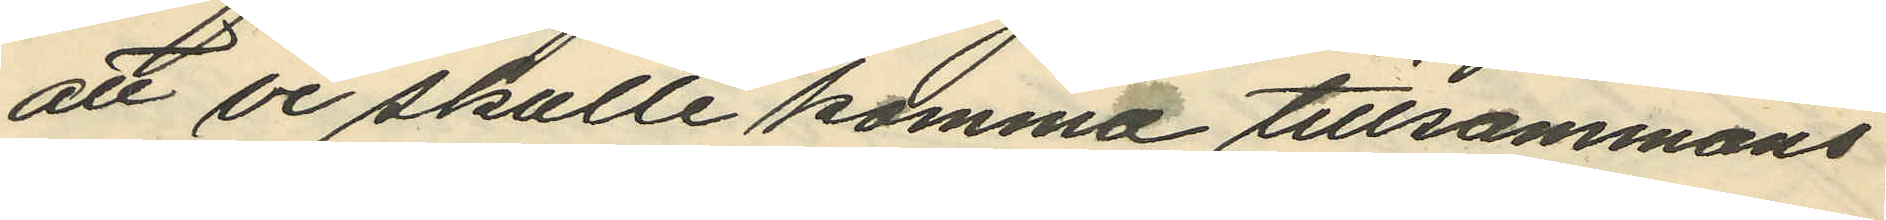att vi skulle komma tillsammans
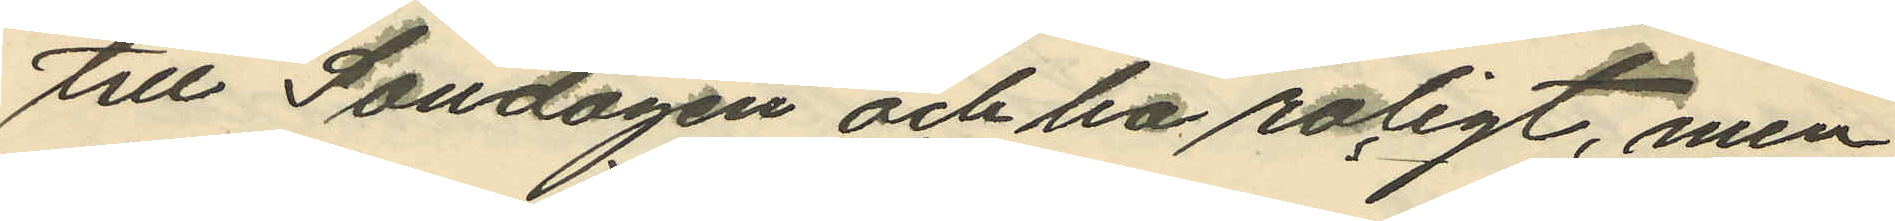till Söndagen och ha roligt, men
